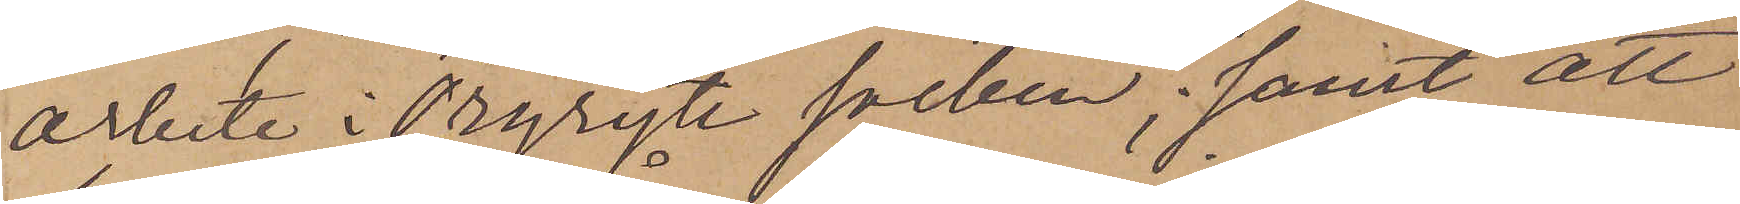arbete i Örgryte socken; samt att
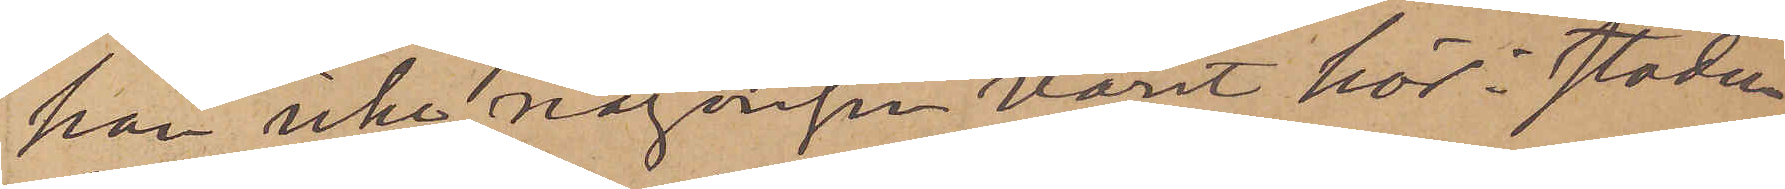han icke någonger varit här i staden
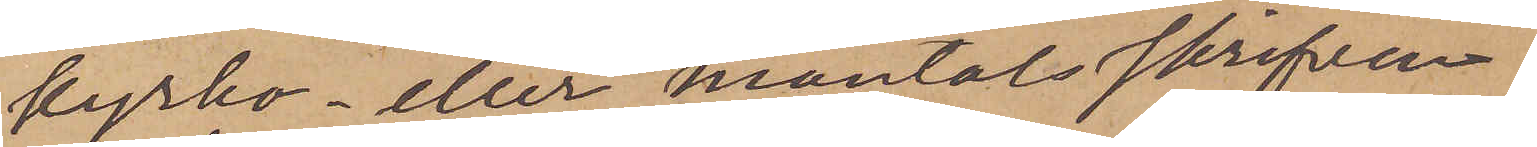kyrko- eller mantalsskrifven.
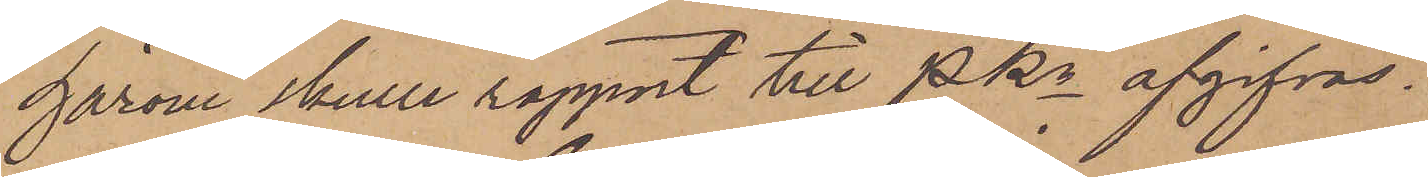härom skulle rapport till PKn afgifvas.
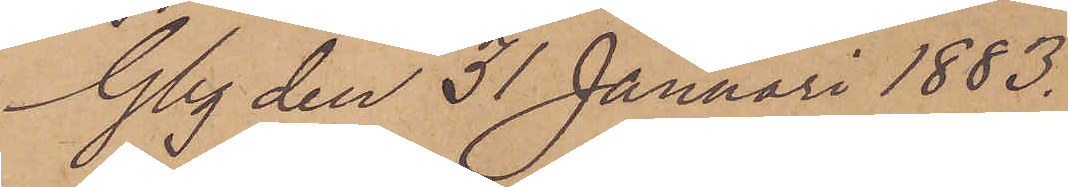Gbg den 31 Januari 1883.
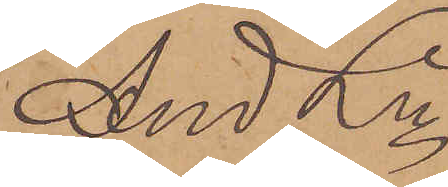And Ln
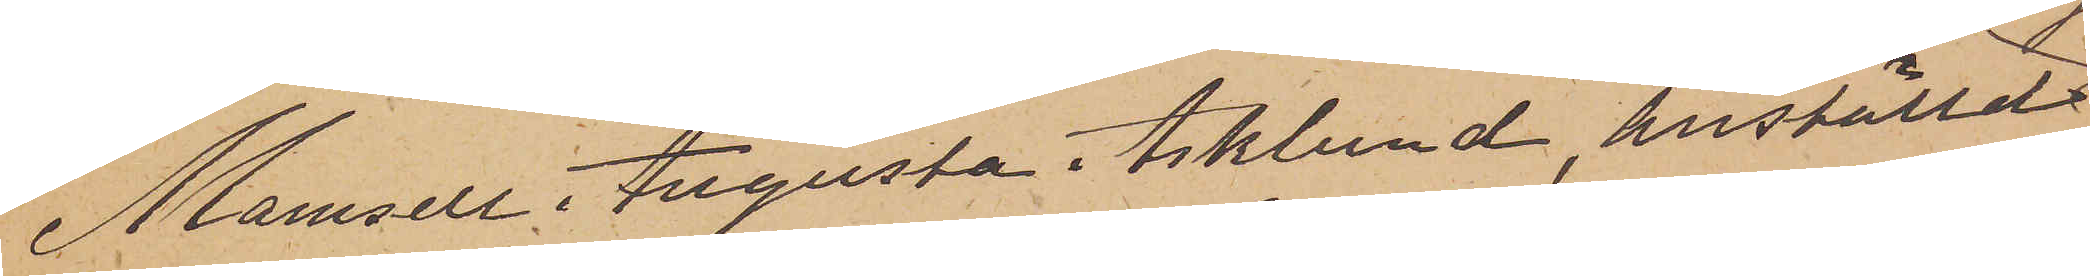Mamsell Augusta Asklund, anställd
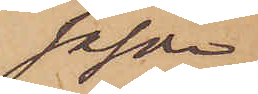såsom
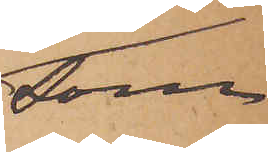som
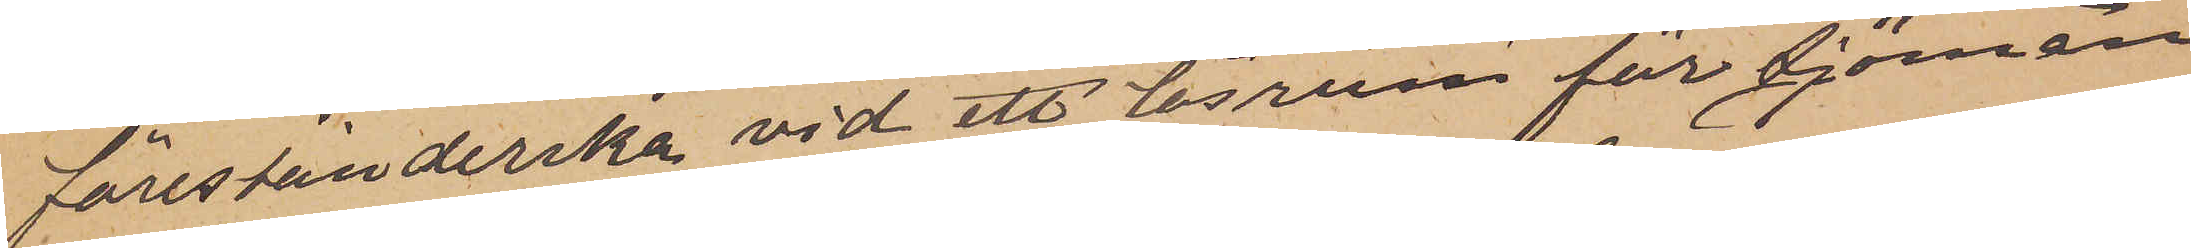förestånderska vid ett läsrum för sjöman
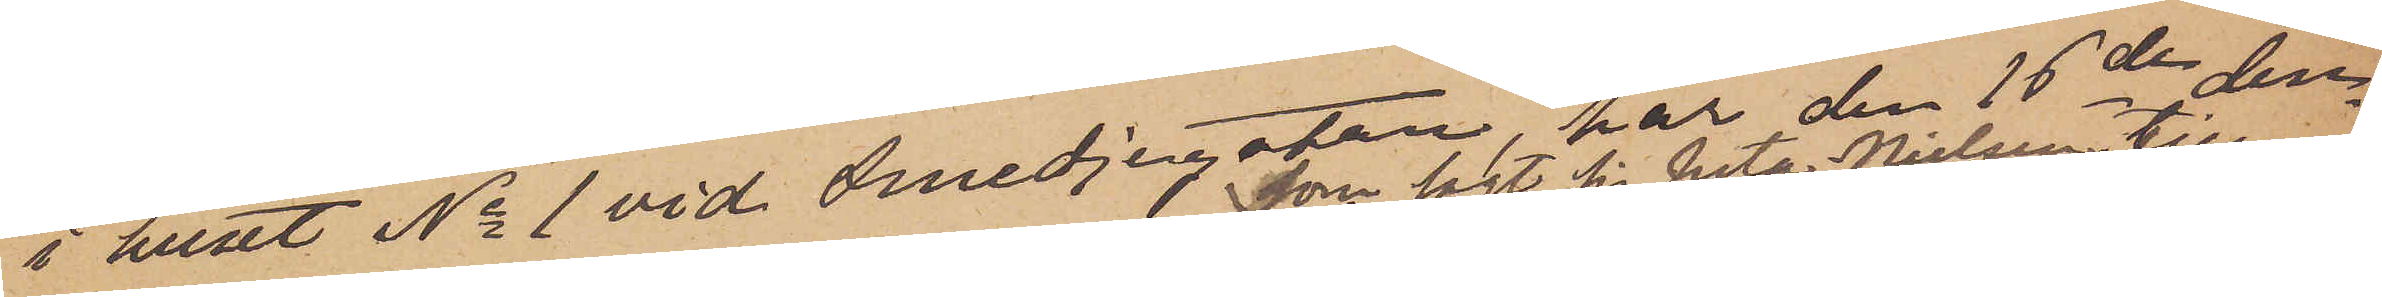i huset No 1 vid Smedjegatan, har den 16de den¬
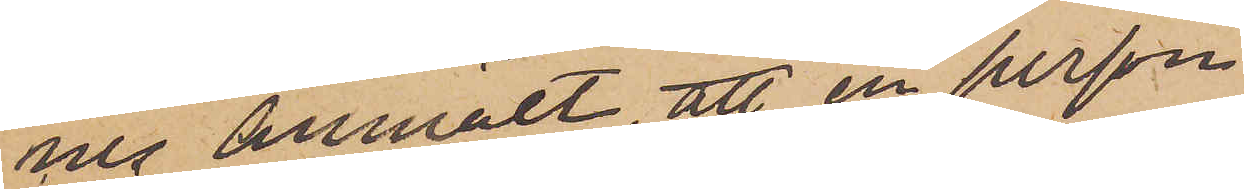nes anmält att en person
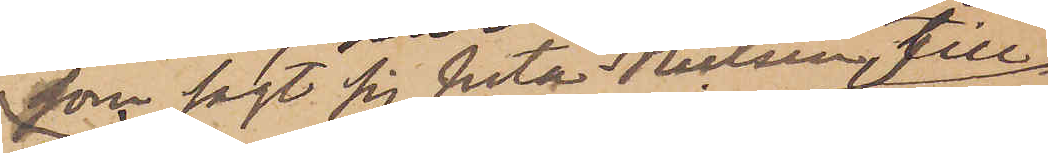som sagt sig heta Nielsen, till
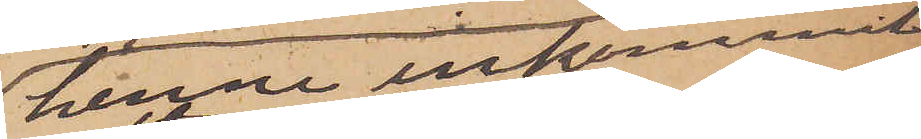henne inkommit
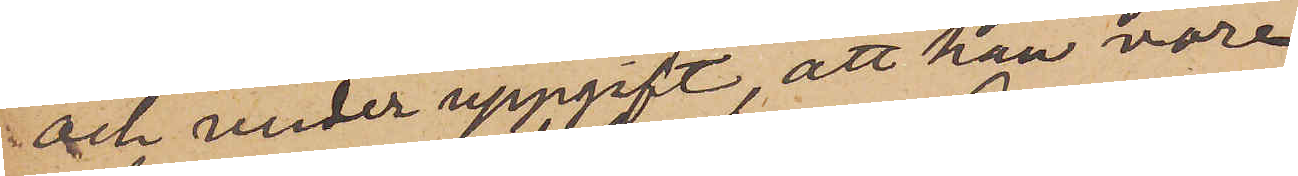och under uppgift att han vore
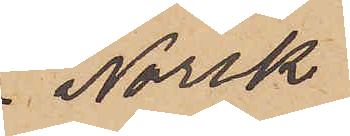Norsk
